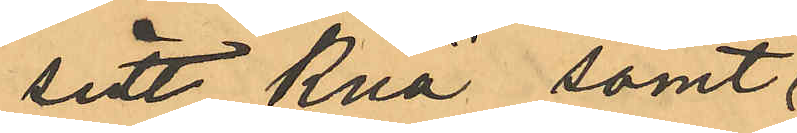sitt knä samt
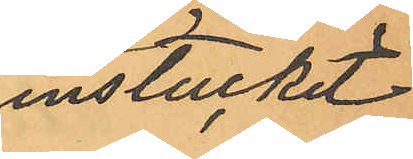instuckit
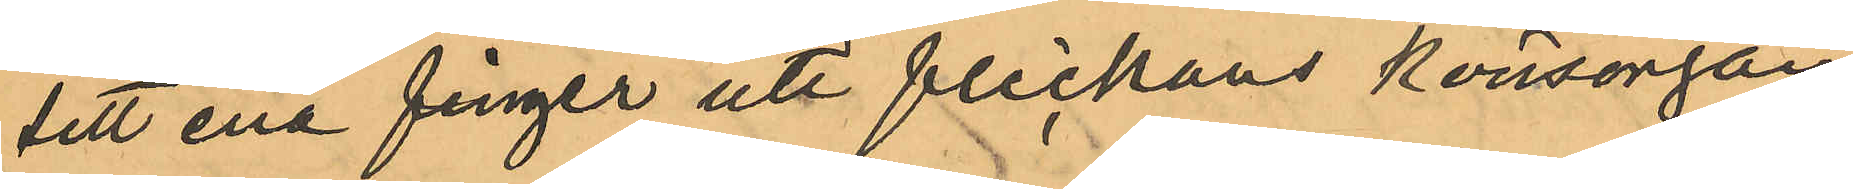sitt ena finger uti flickans könsorgan;
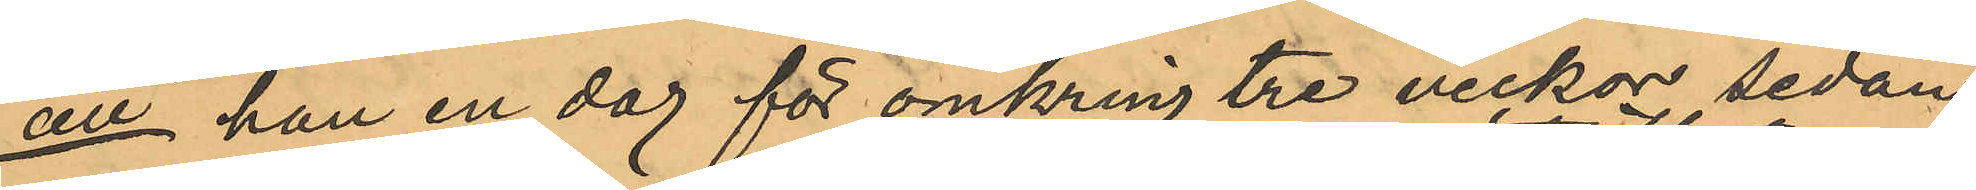att han en dag för omkring tre veckor sedan
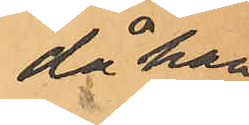då han
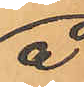å
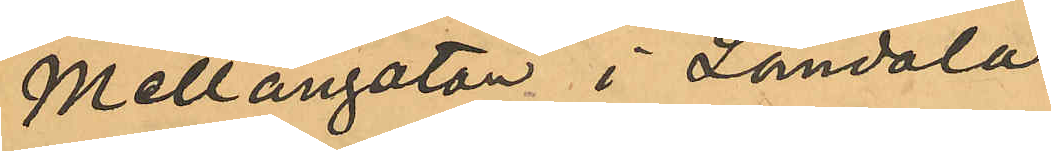Mellangatan i Landala
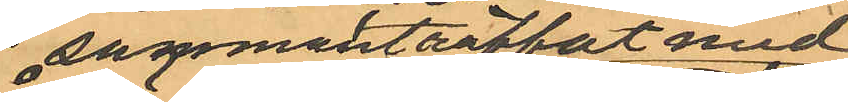sammanträffat med
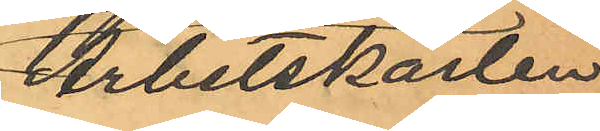Arbetskarlen
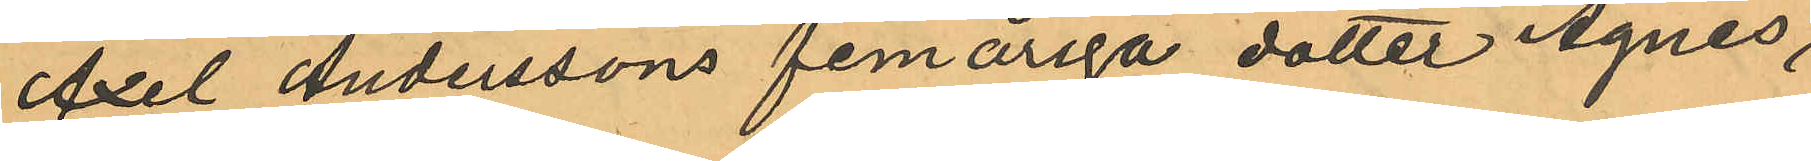Axel Anderssons femåriga dotter Agnes,
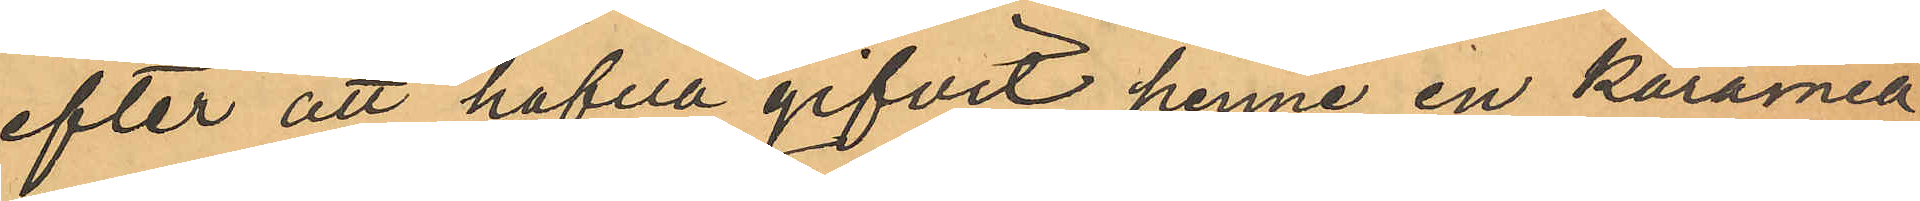efter att hafva gifvit henne en karamell
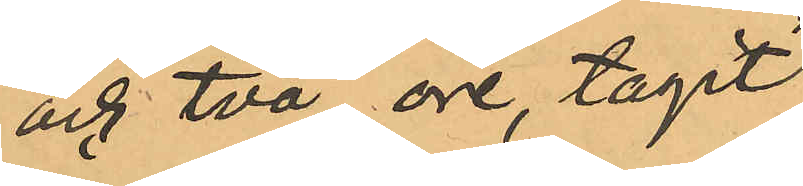och två öre, tagit
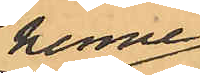henne
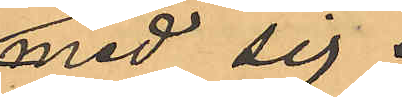med sig.
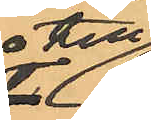till
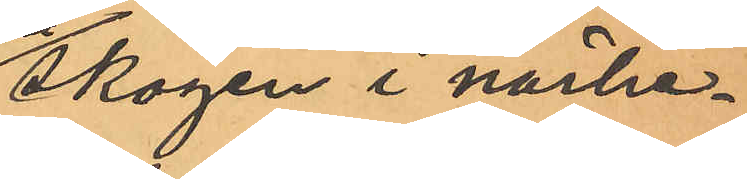skogen i närhe¬
